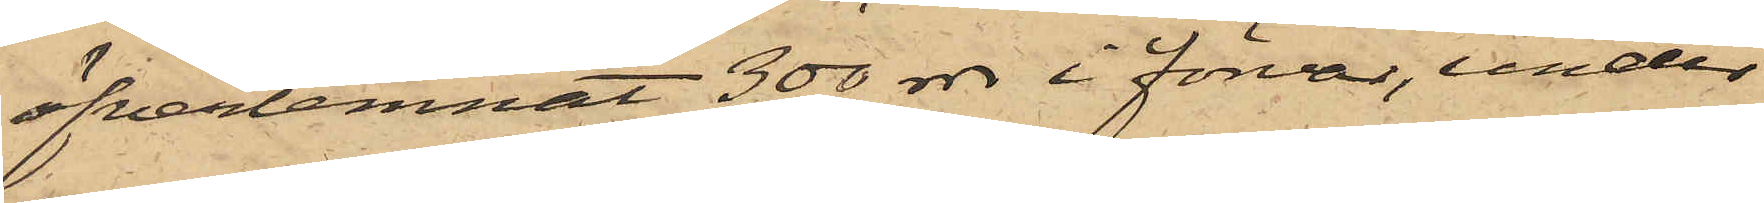öfverlemnat 300 rdr i förvar, under
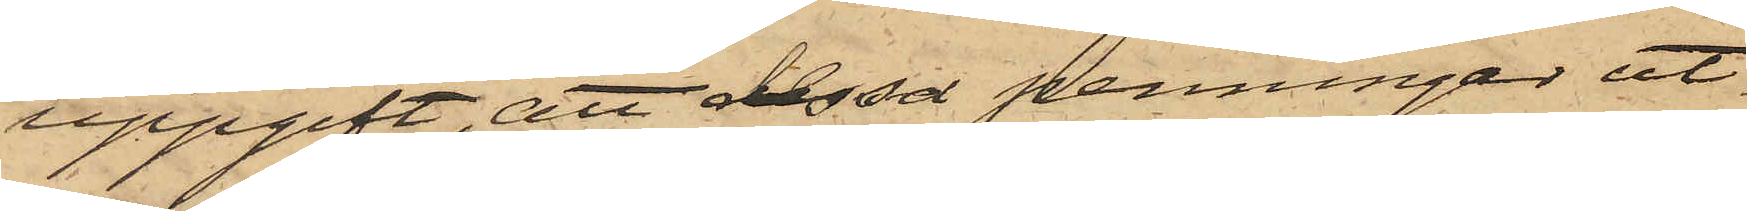uppgift, att dessa penningar ut¬
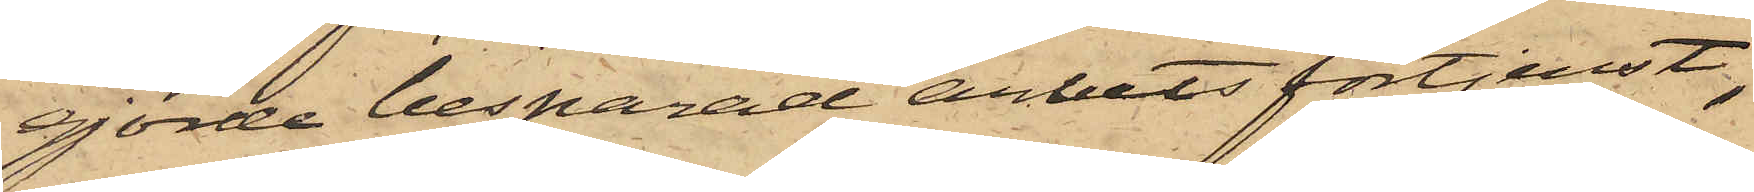gjorde besparad arbetsförtjenst,
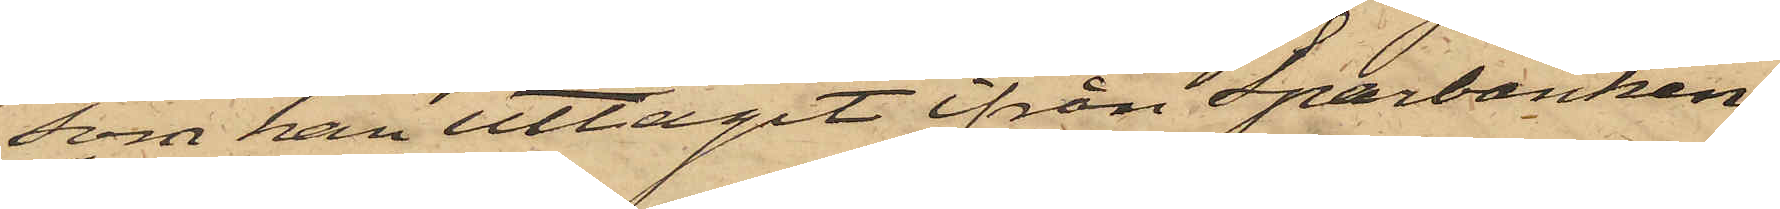som han uttagit ifrån Sparbanken;
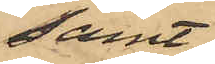samt
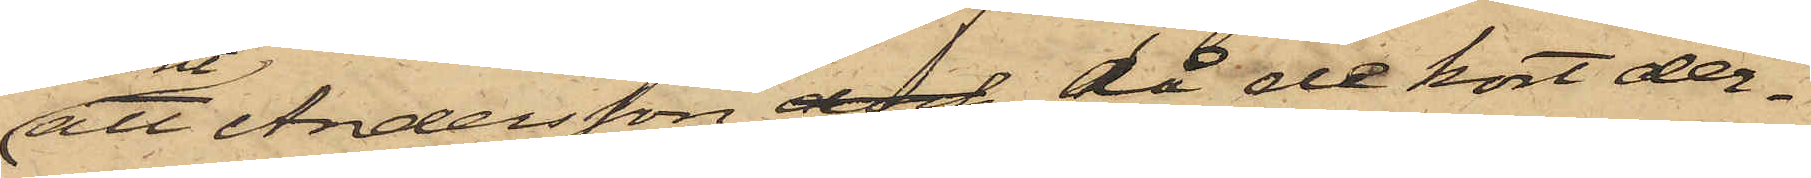att Andersson dock, då de kort der¬
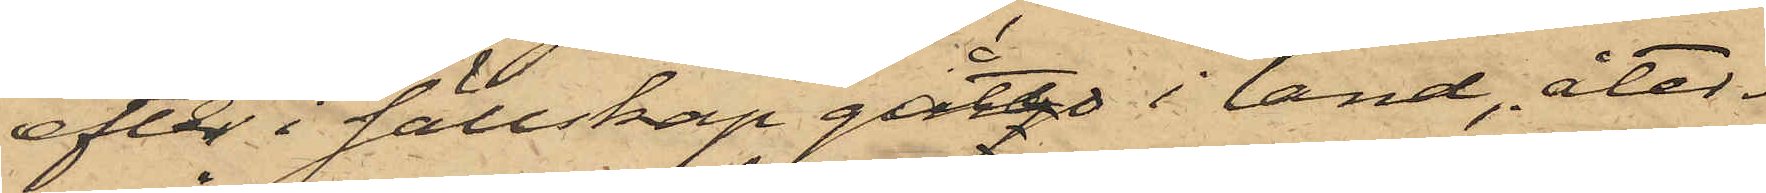efter i sällskap gått i land åter¬
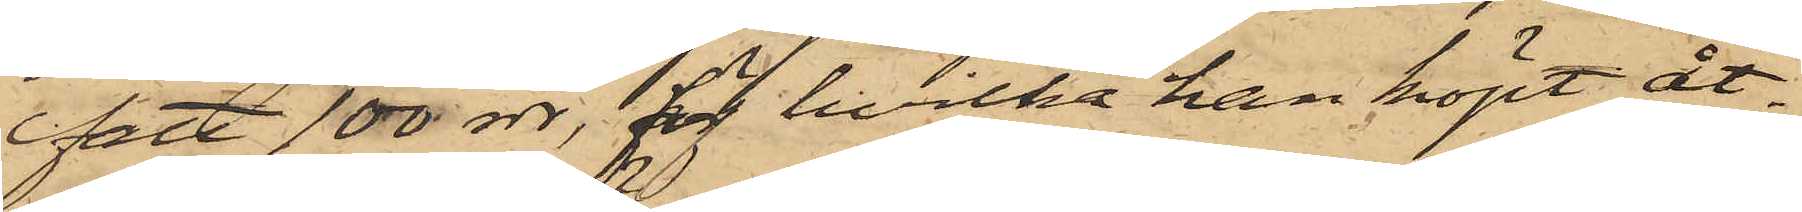fått 100 rdr, för hvilka han köpt åt¬
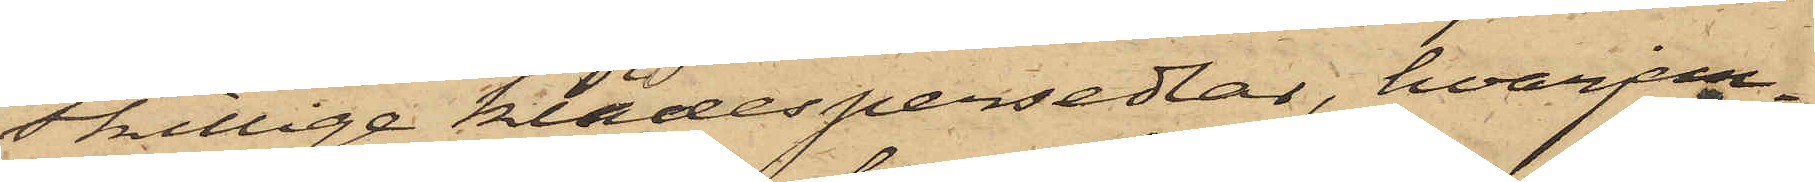skillige klädespersedlar, hvarjem¬
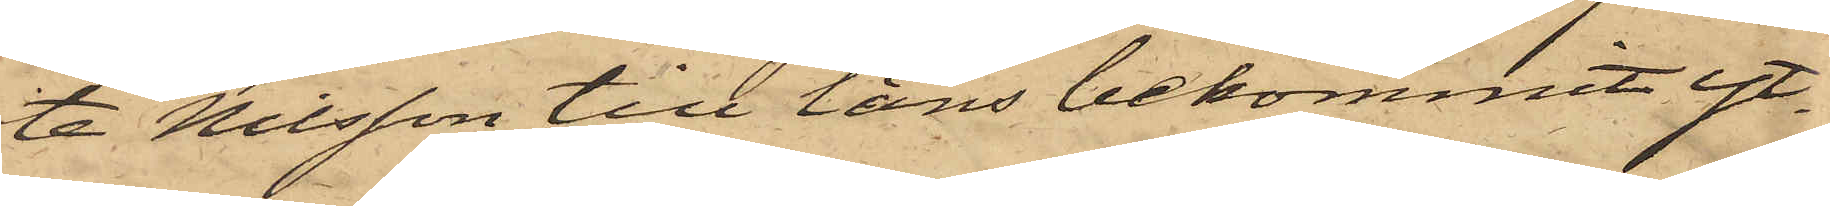te Nilsson till låns bekommit yt¬
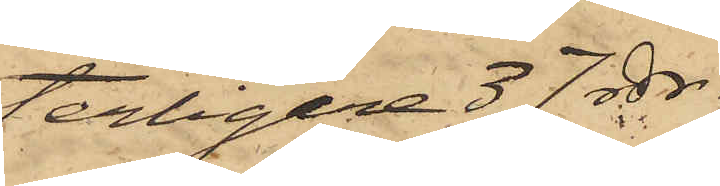terligare 37 rdr.
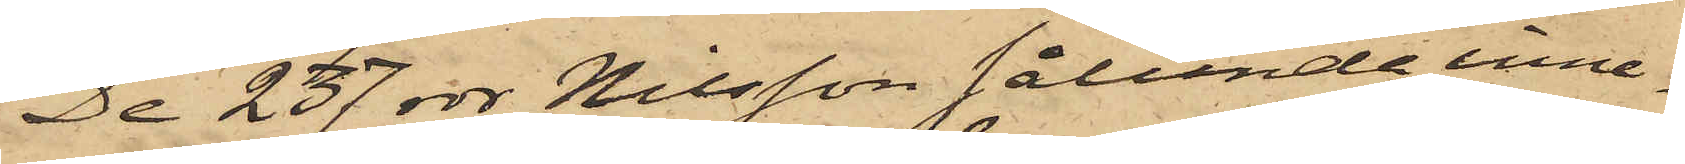De 237 rdr Nilsson sålunda inne¬
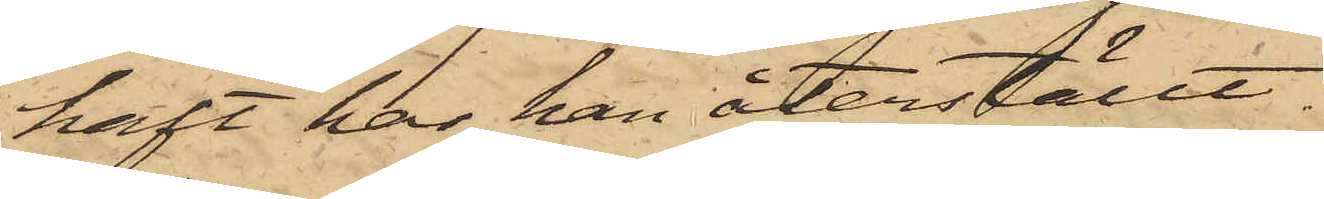haft har han återställt.
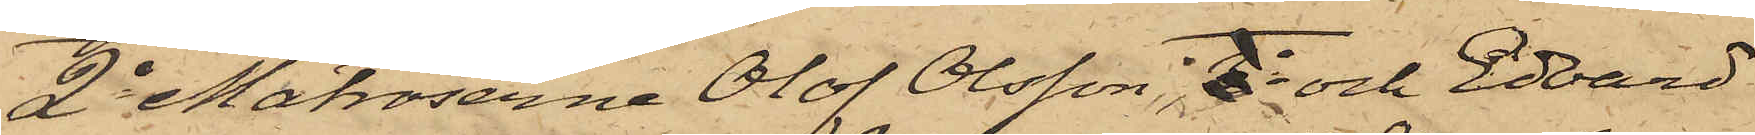2o Matroserna Olof Olsson E och Edvard
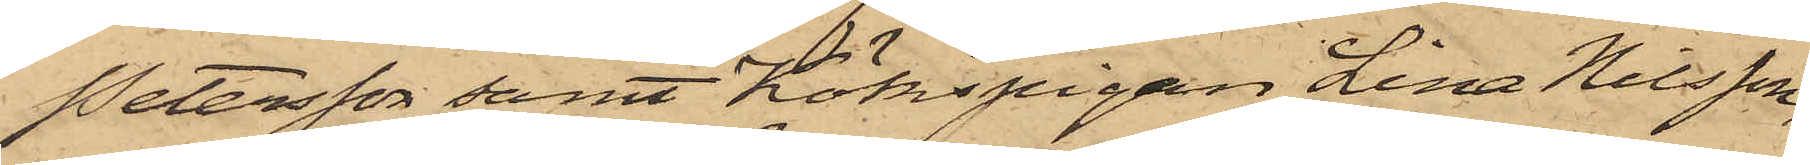Petersson samt Kökspigan Lina Nilsson,
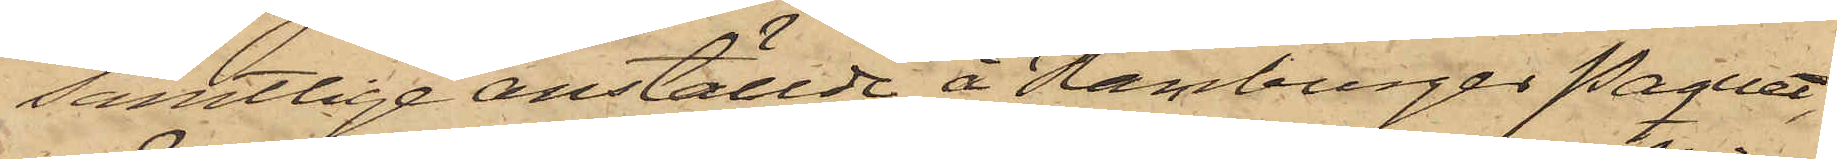samtlige anställde å Hamburger Paquet,
